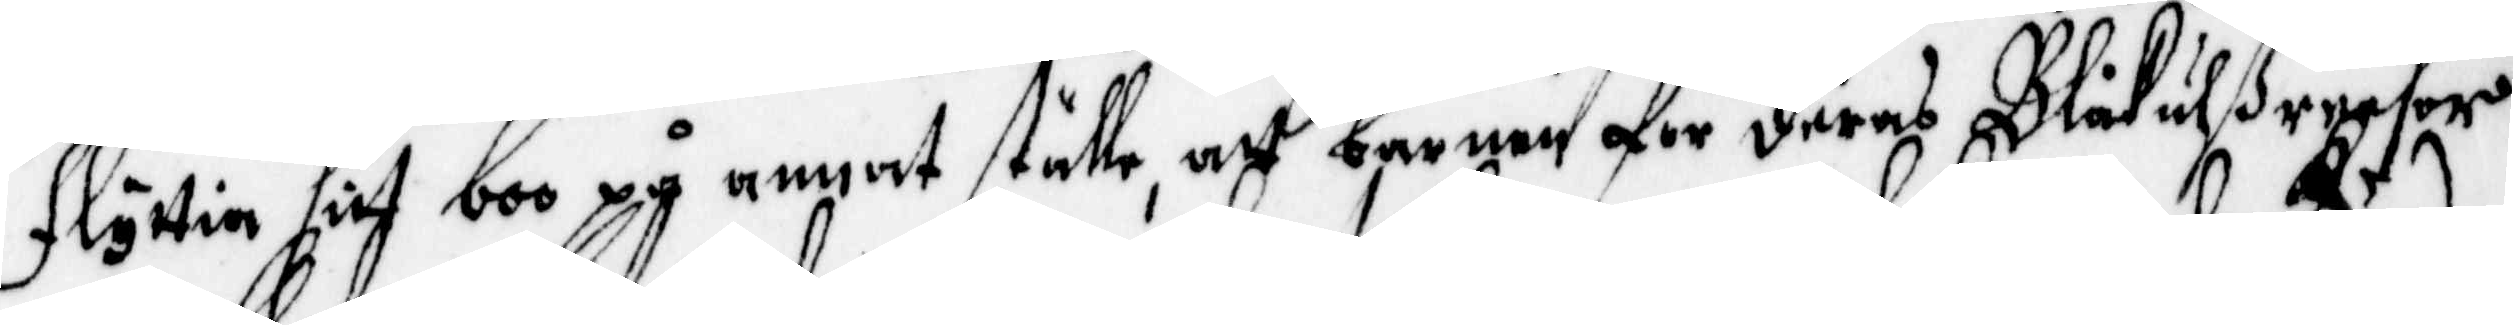flyttia sitt boo på annat ställe, att barnen för deras Blåkulßreesor
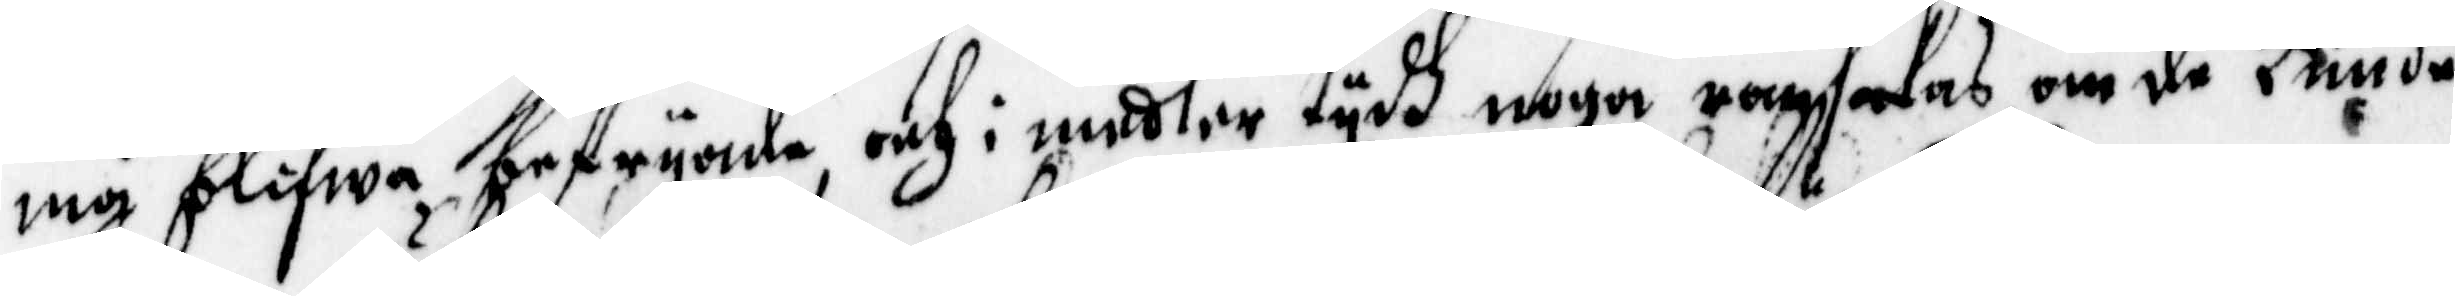må blifwa befryade, och i medler tydh noga ransakas, om de kunde
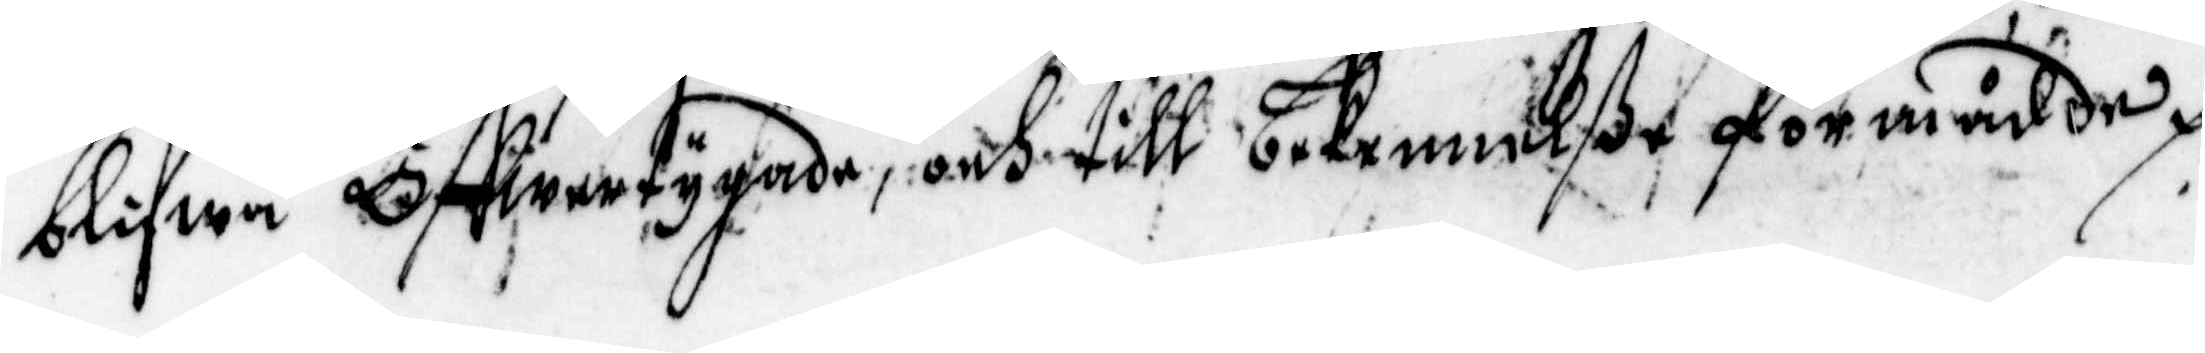blifwa Öffwertygade, och till bekennilße förmådde.
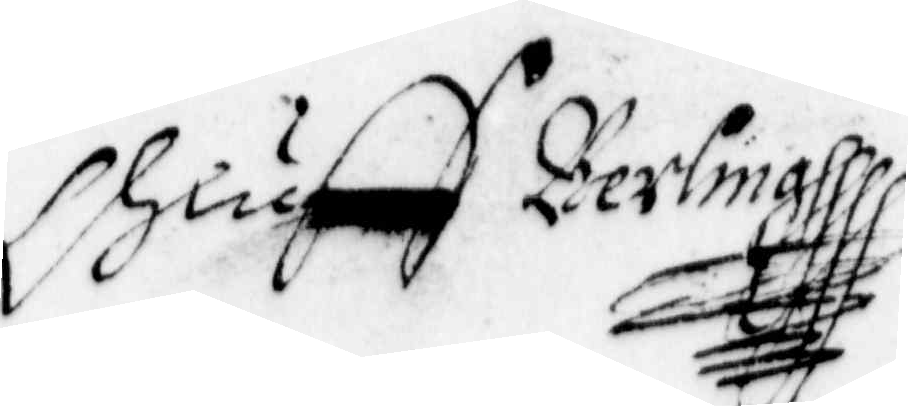Oluff Berlmg
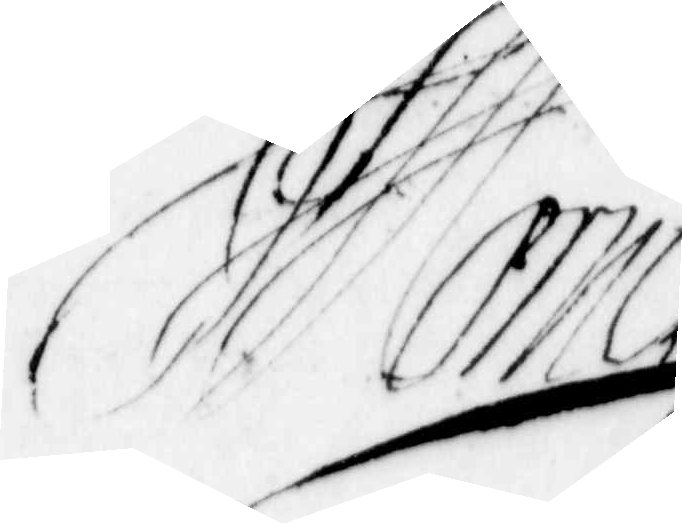Mörner
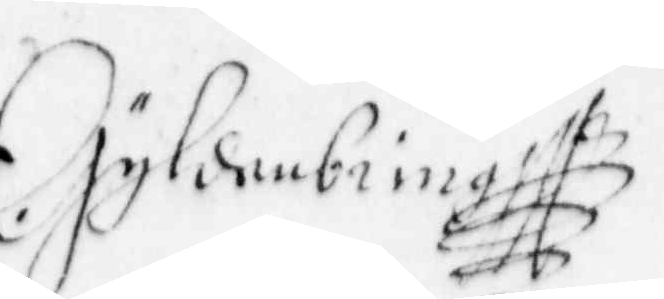Gyldenbringh
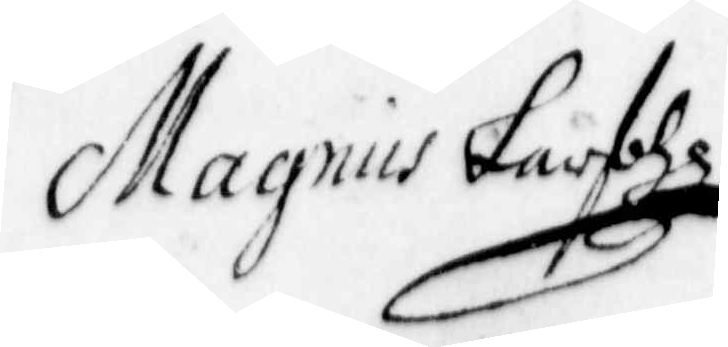Magnus Larsohn
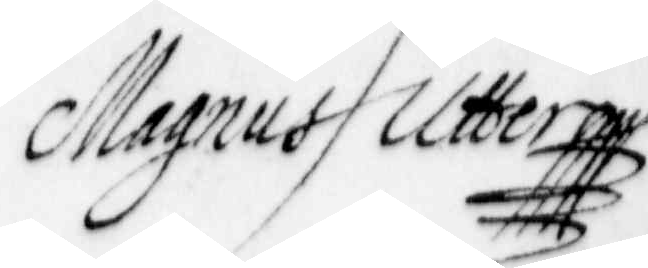Magnus Utter
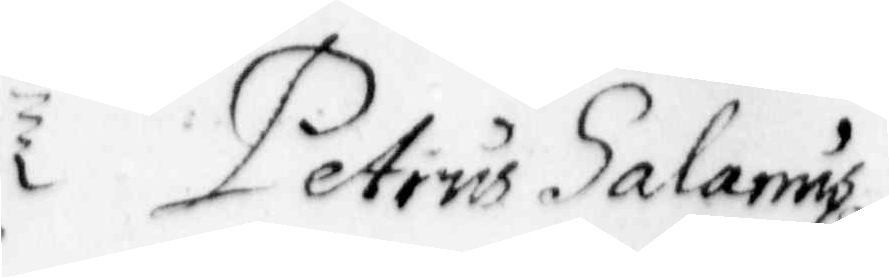Petrus Salamus
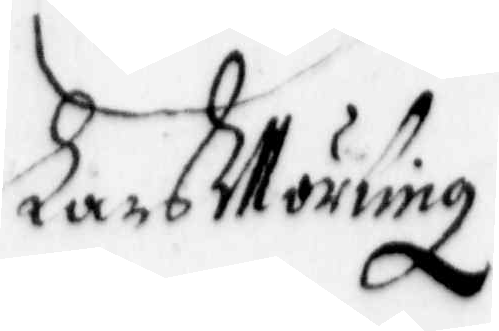Lars Mörling
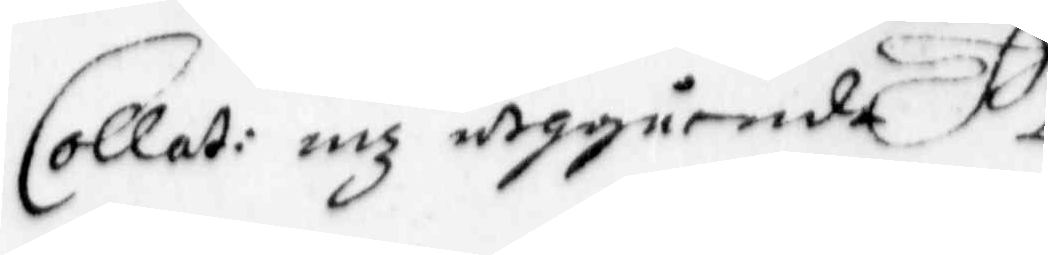Collat: mz utgående
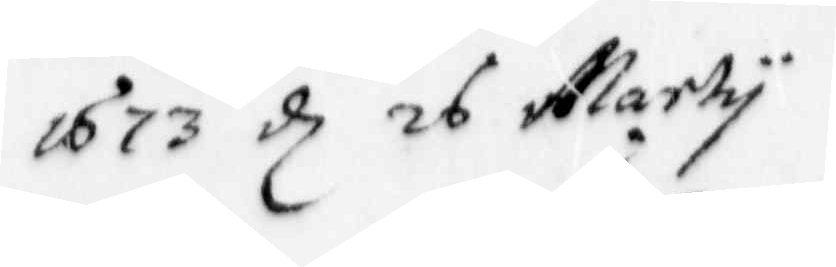1673 d 26 Marty
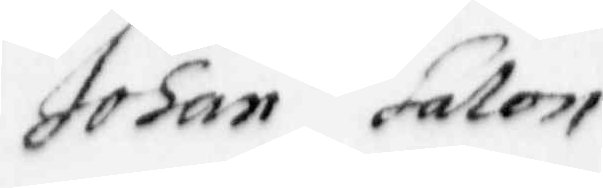Johan Salon
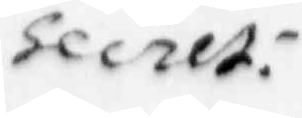Secret:
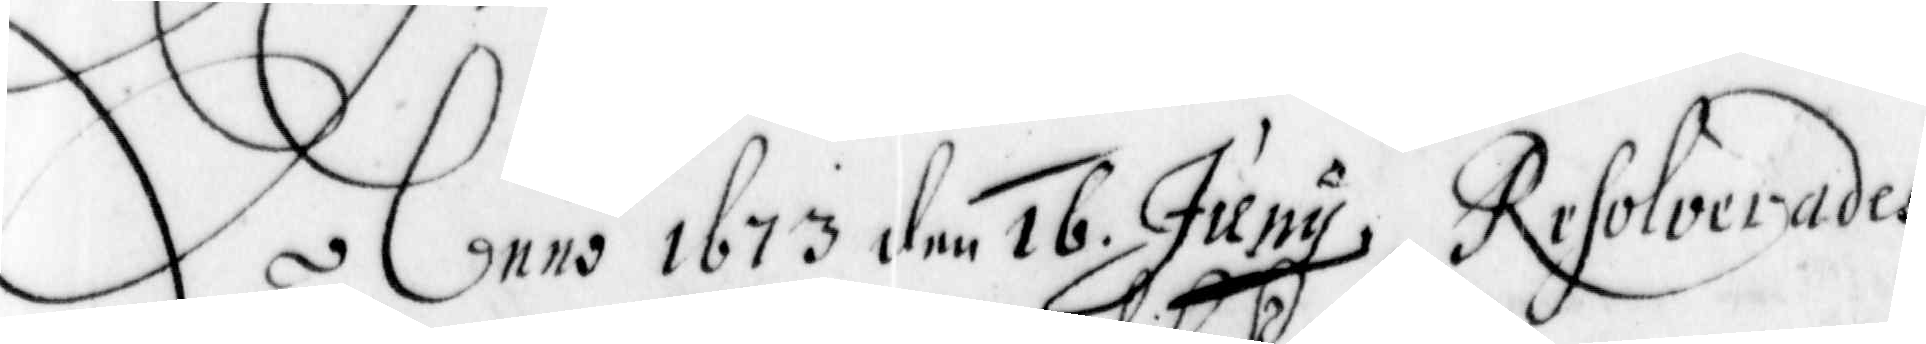Anno 1673 den 16 Juny resolverades
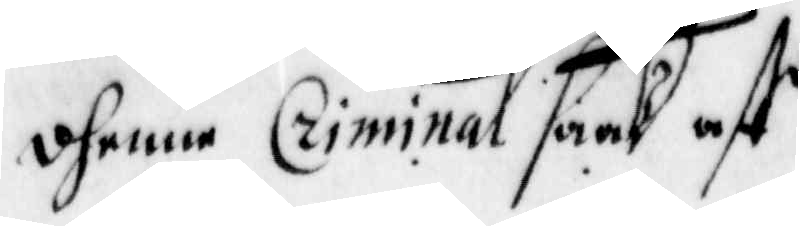dhenne Criminal Saak aff
